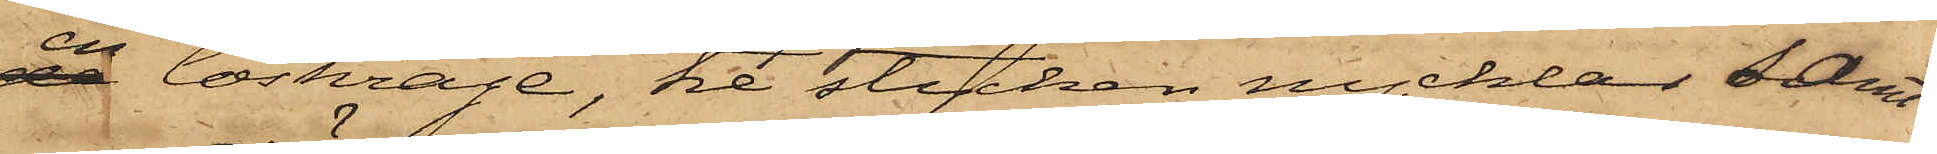en löskrage, tre stycken nycklar samt
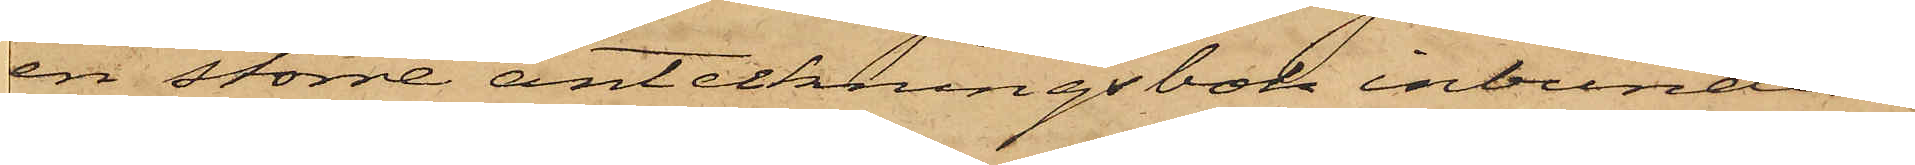en större anteckningsbok inbunden
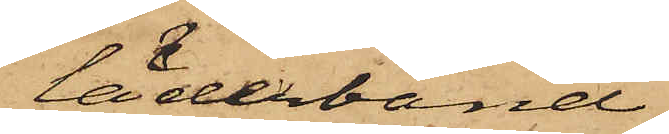i läderband;
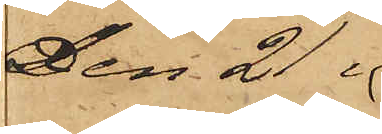Den 21 i
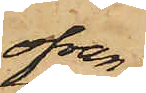ofvan
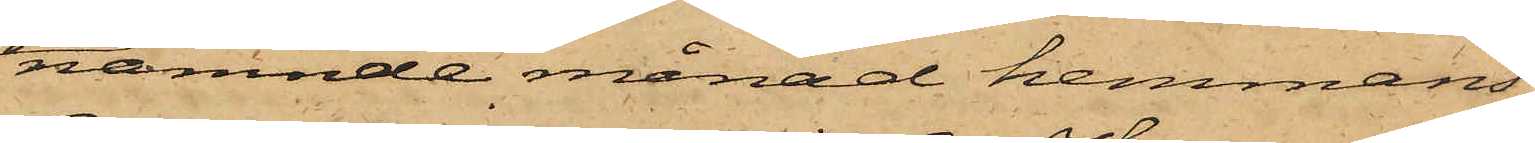nämnde månad hemmans¬
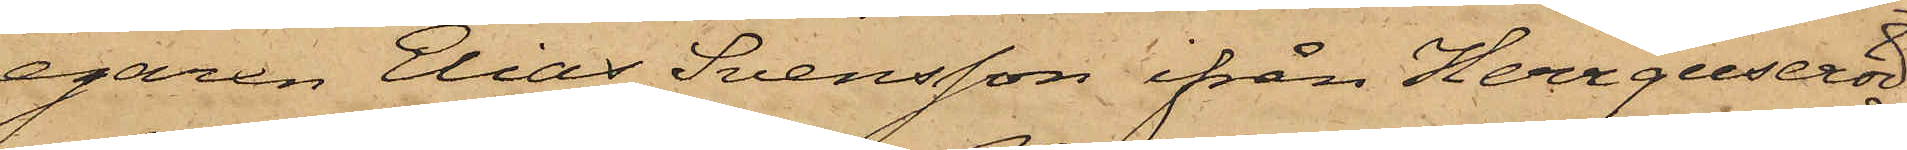egaren Elias Svensson ifrån Herrguseröd
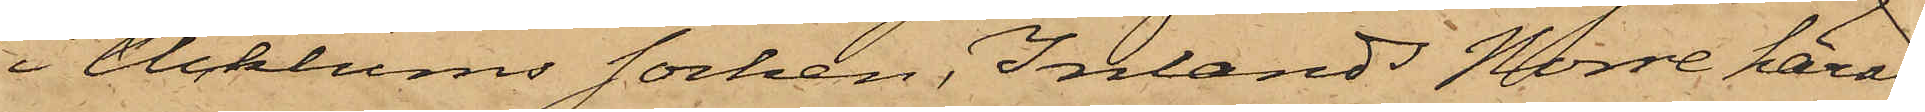i Ucklums Socken, Inlands Norre härad,
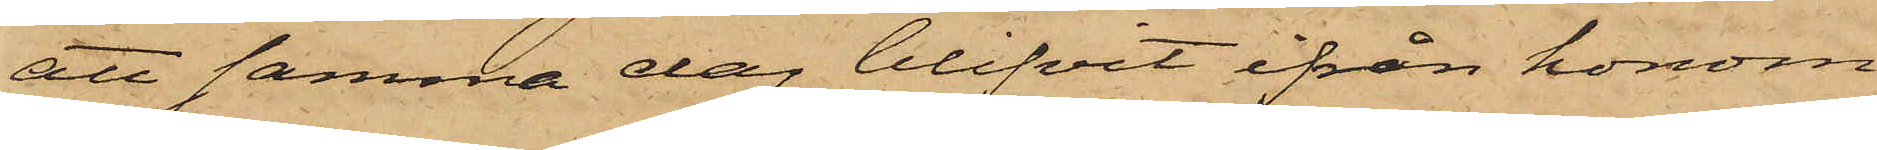att samma dag blifvit ifrån honom
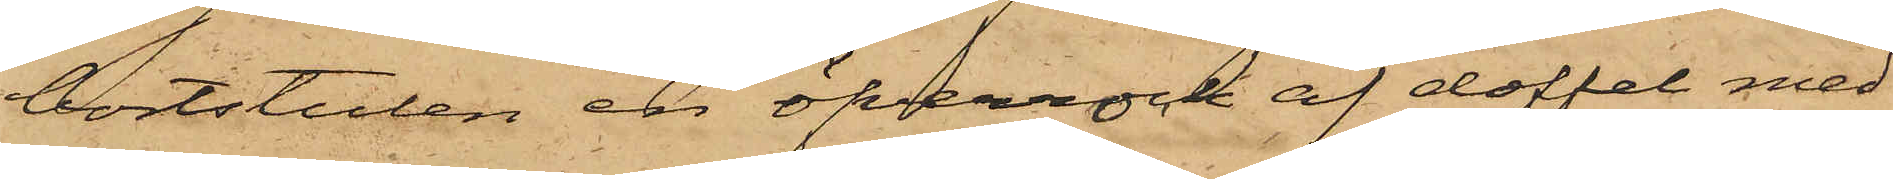bortstulen en öfverrock af doffel med
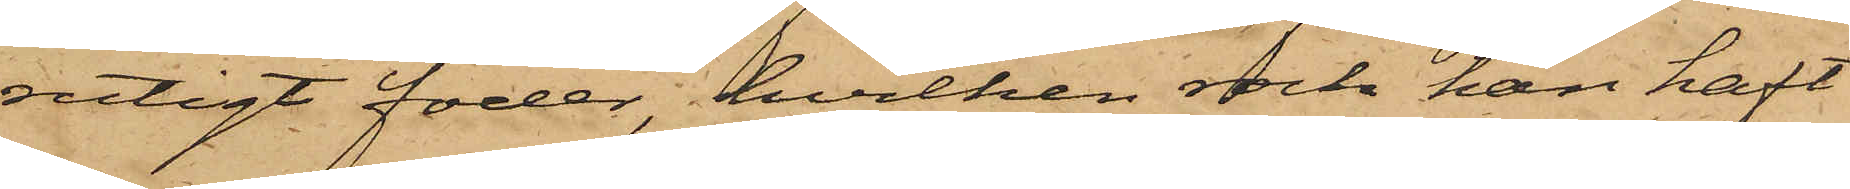rutigt foder, hvilken rock han haft
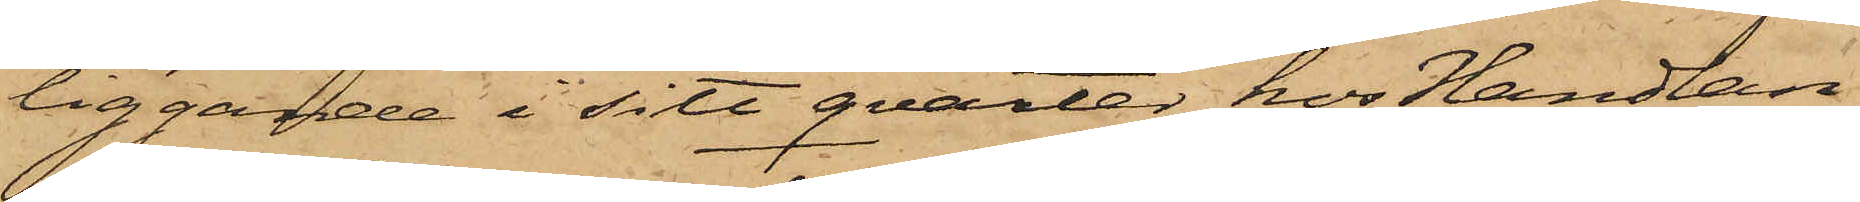liggande i sitt qvarter hos Handlan¬
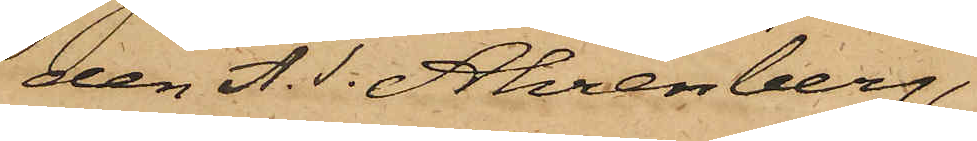den A. T. Ahrenberg,
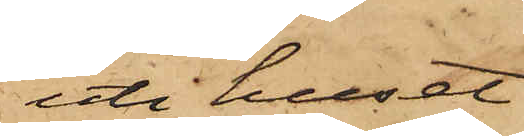uti huset
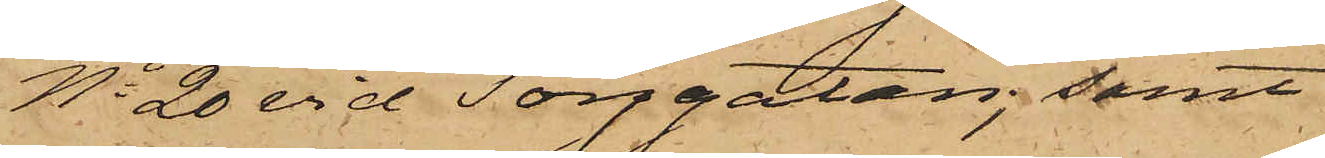No 20 vid Torggatan; samt
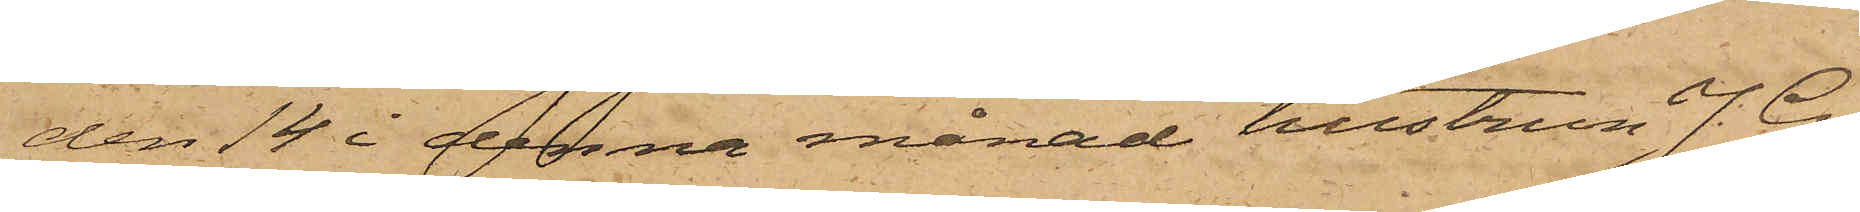den 14 i denna månad hustrun J. G.
